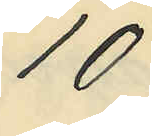10
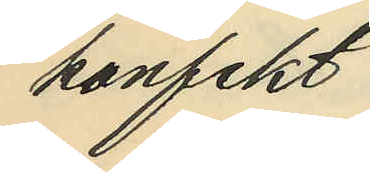konfekt
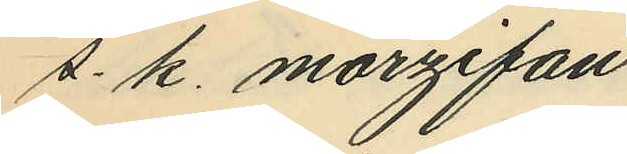s. k. marzipan
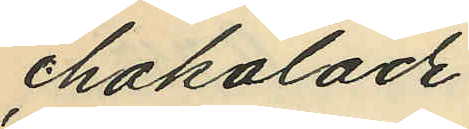chokolade
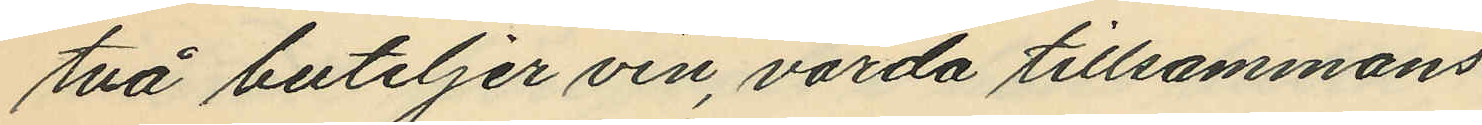två buteljer vin, värda tillsammans
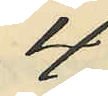4
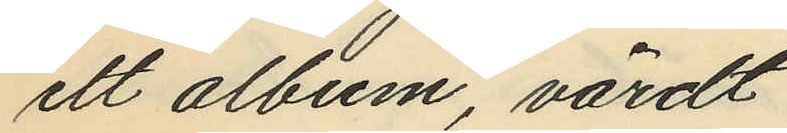ett album, värdt
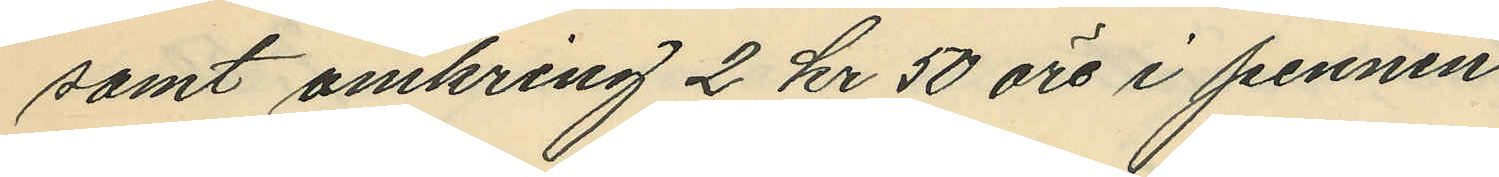samt omkring 2 kr 50 öre i pennin
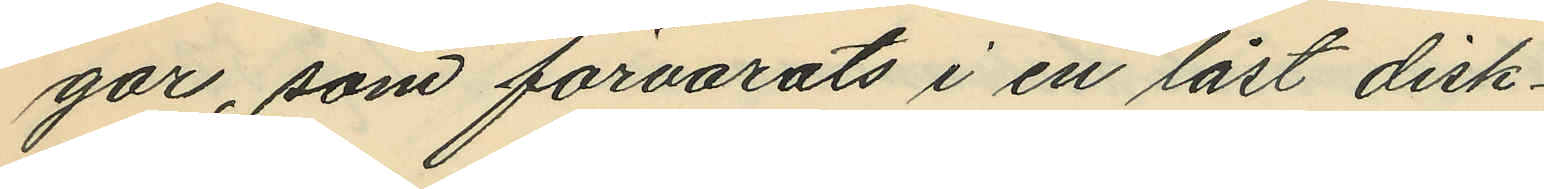gar, som förvarats i en låst disk¬
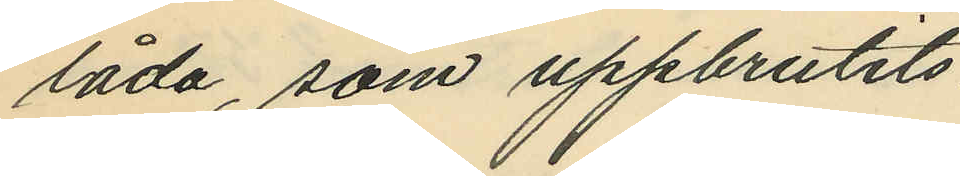låda, som uppbrutits.
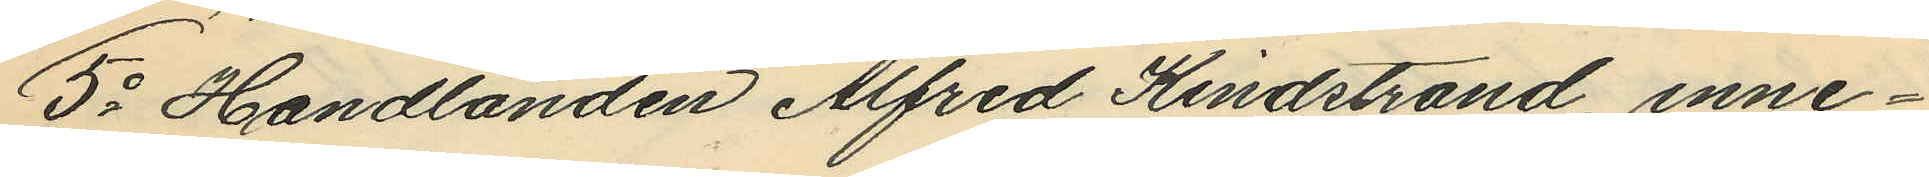5o Handlanden Alfred Kindstrand, inne¬
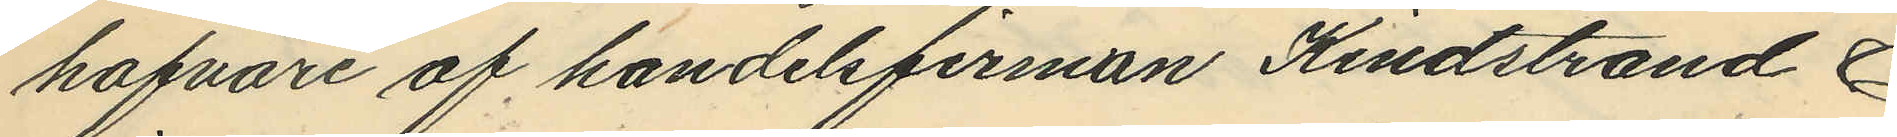hafvare af handelsfirman Kindstrand &
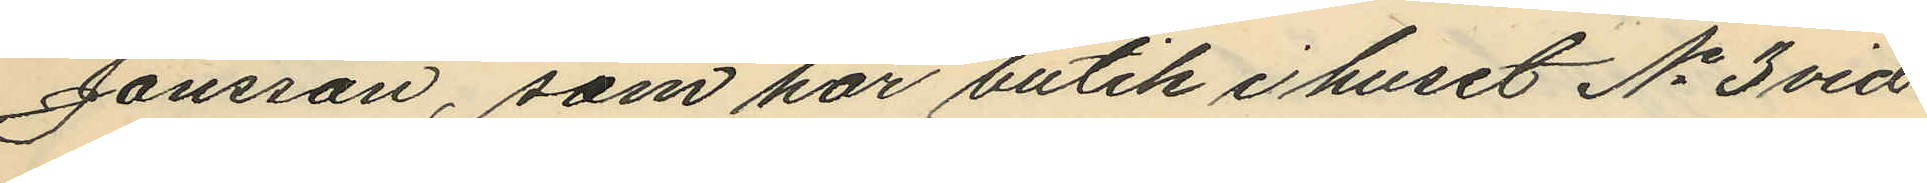Jonsson, som har butik i huset No 3 vid
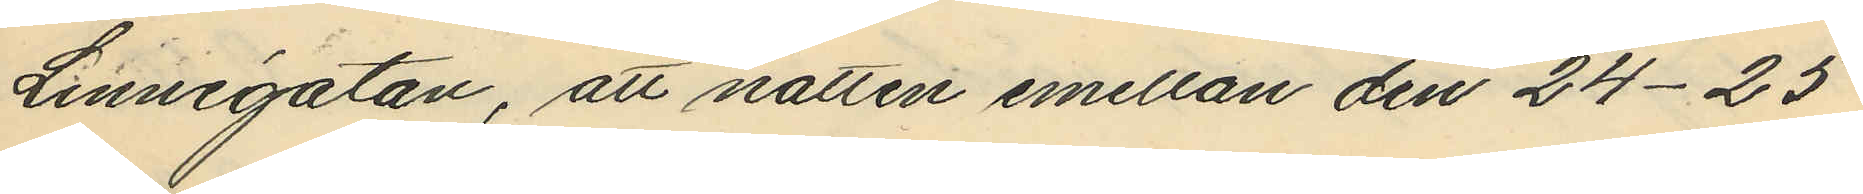Linnégatan, att natten emellan den 24-25
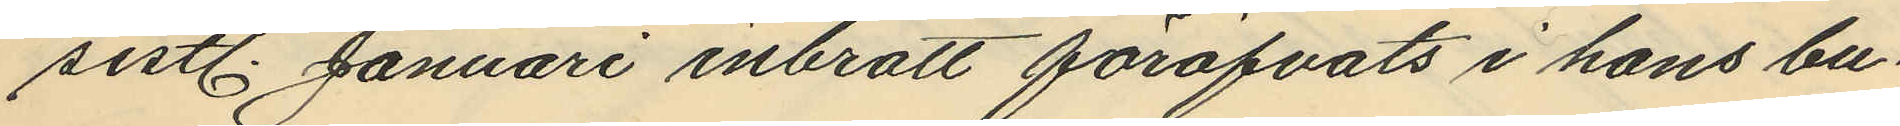sistl. Januari inbrott föröfvats i hans bu¬
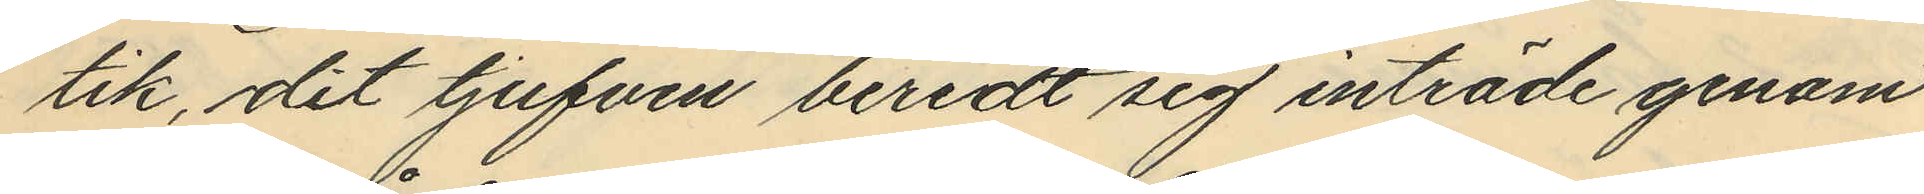tik, dit tjufven beredt sig inträde genom
